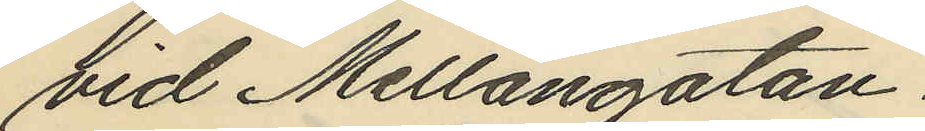vid Mellangatan.
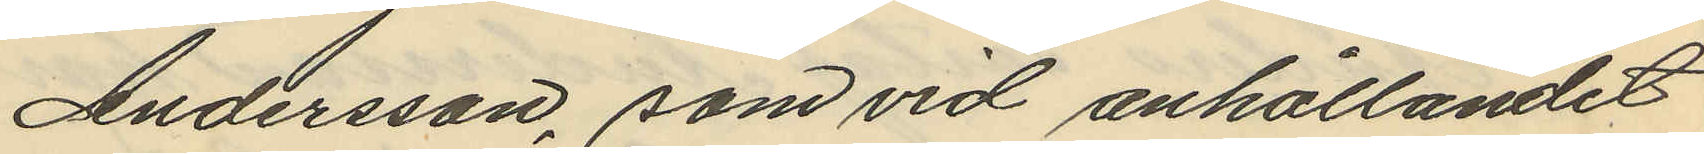Andersson, som vid anhållandet
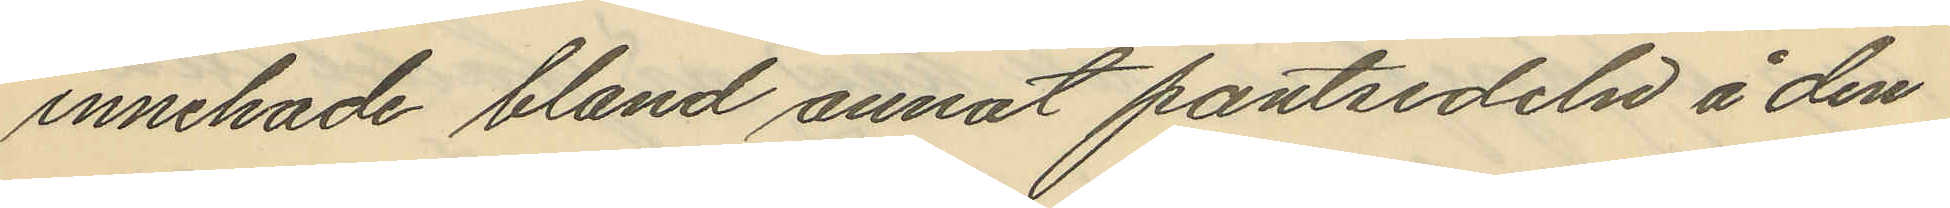innehade bland annat pantsedeln å den
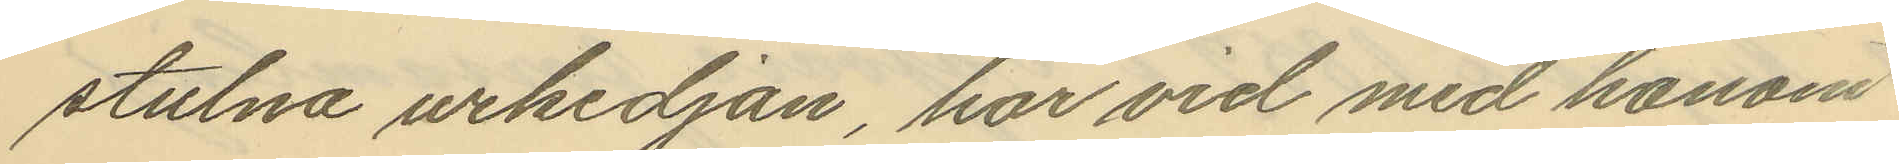stulna urkedjan, har vid med honom
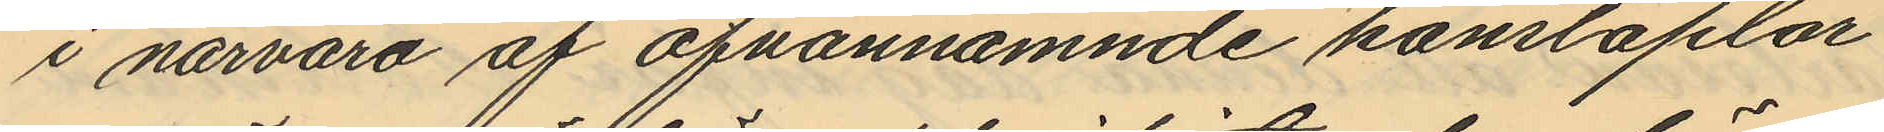i närvaro af ofvannämnde konstaplar
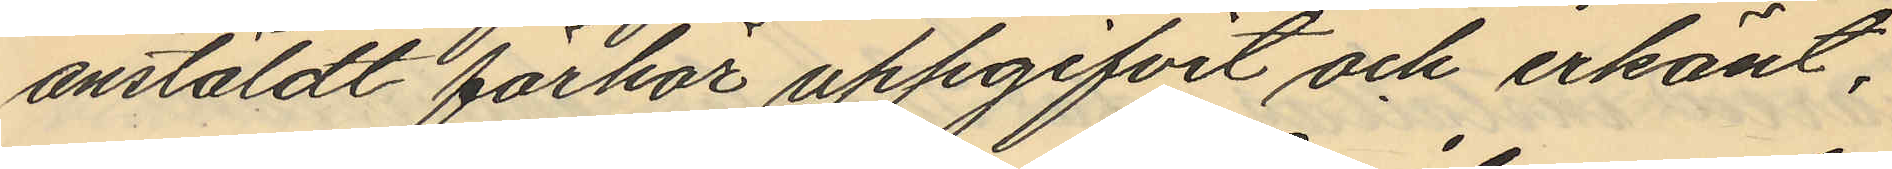anstäldt förhör uppgifvit och erkänt,
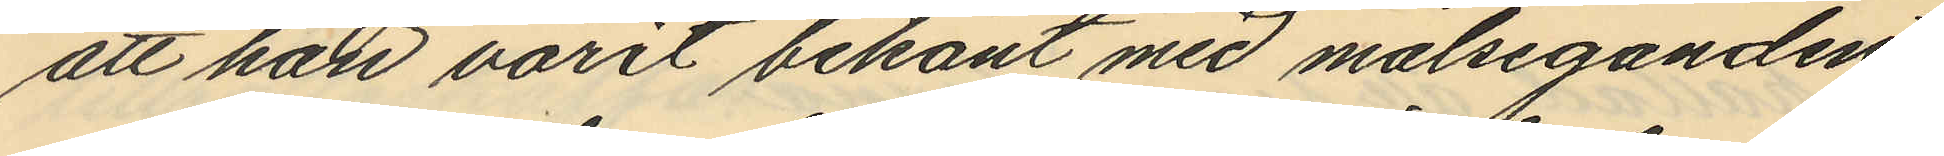att han varit bekant med målseganden
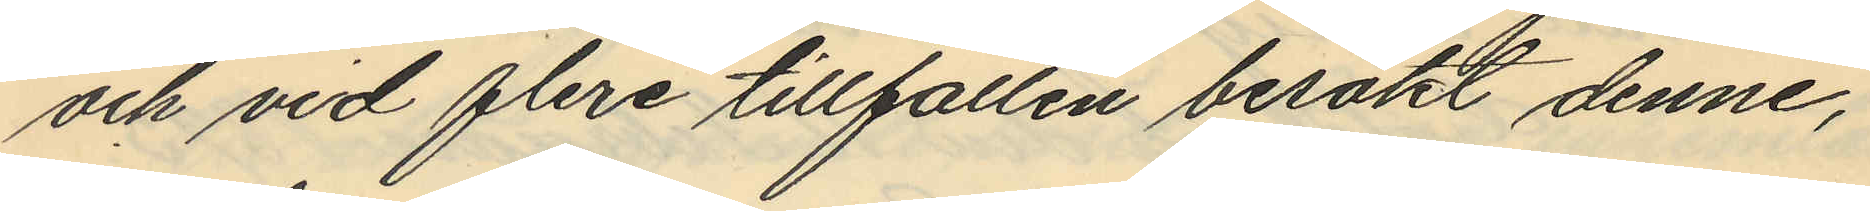och vid flere tillfällen besökt denne,
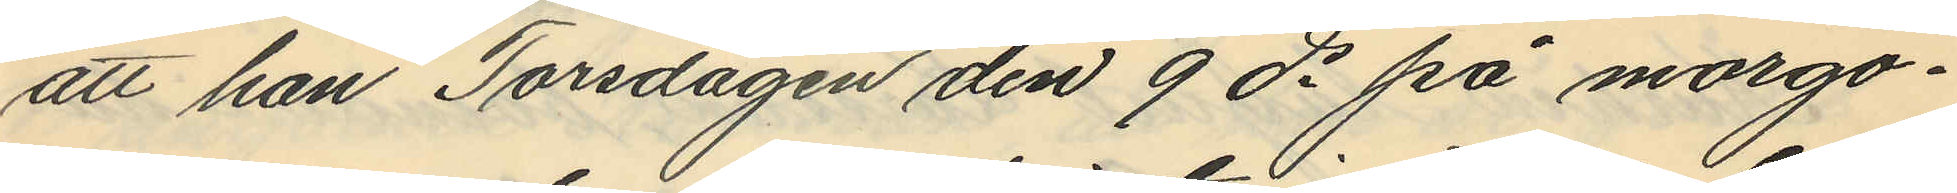att han Torsdagen den 9 ds på morgo¬
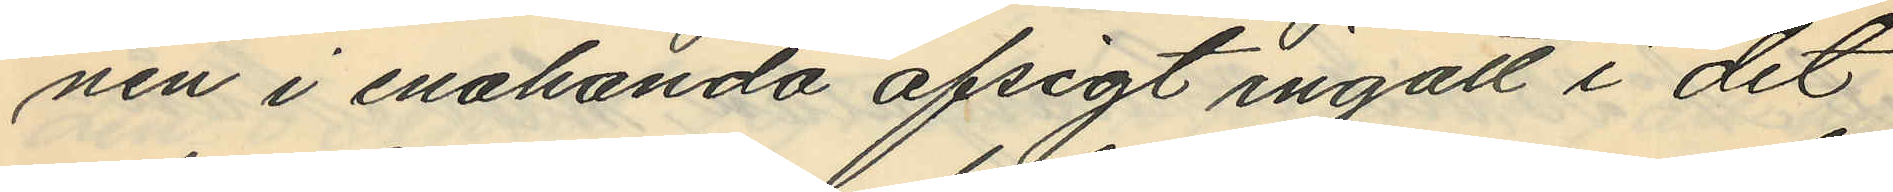nen i enahanda afsigt ingått i det
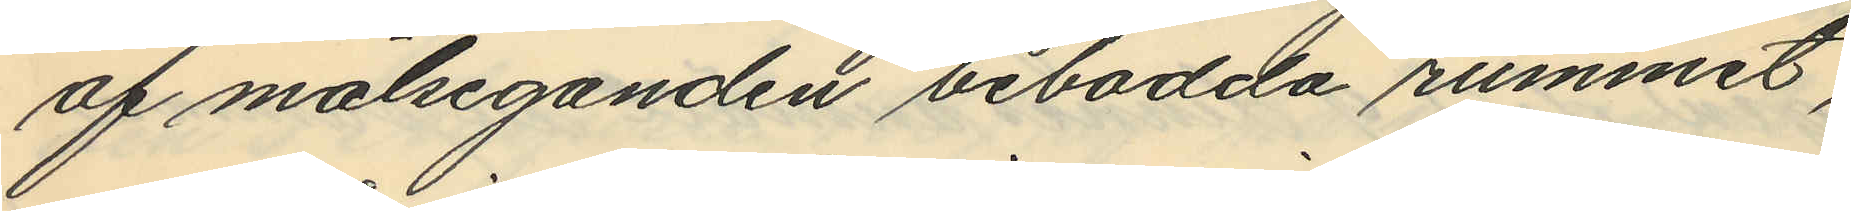af målseganden bebodda rummet,
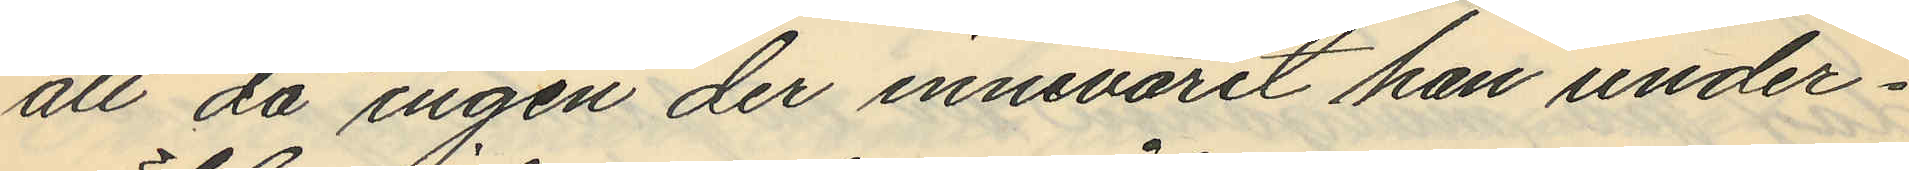att då ingen der innevarit han under¬
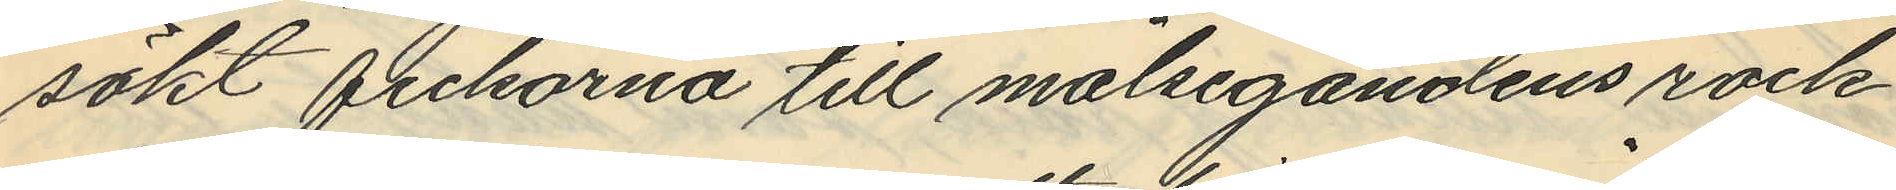sökt fickorna till målsegandens rock
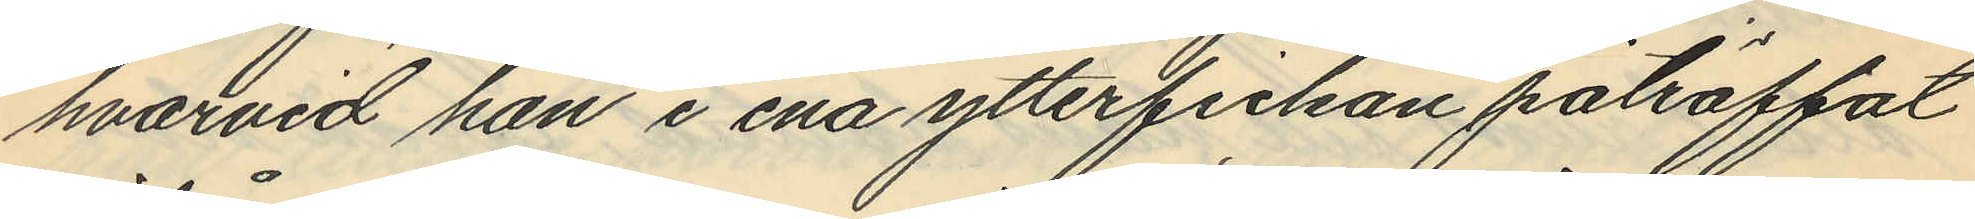hvarvid han i ena ytterfickan påträffat
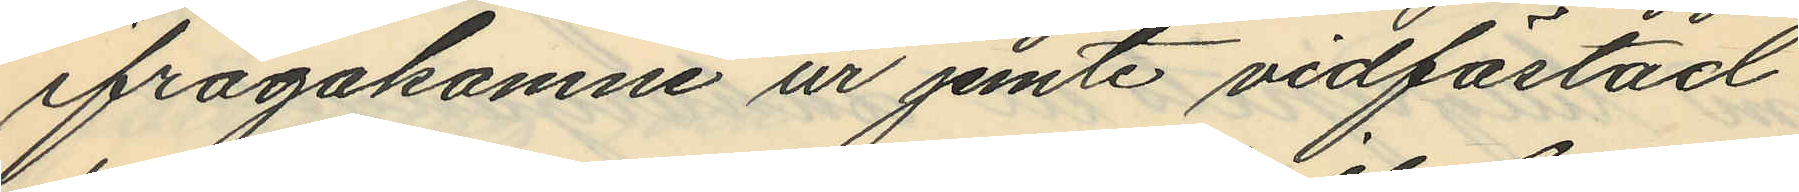ifrågakomne ur jemte vidfästad
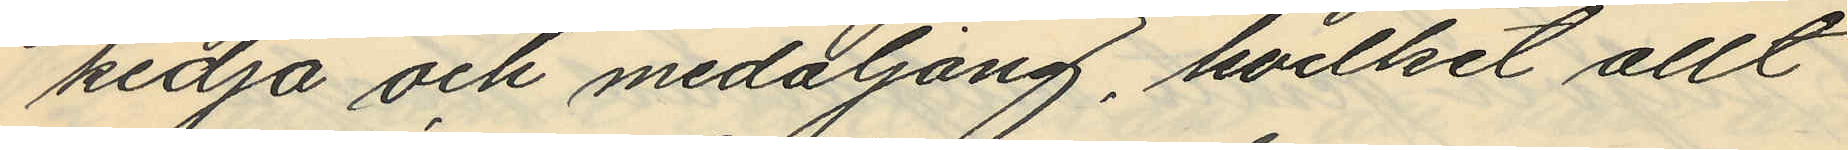kedja och medaljång, hvilket allt
